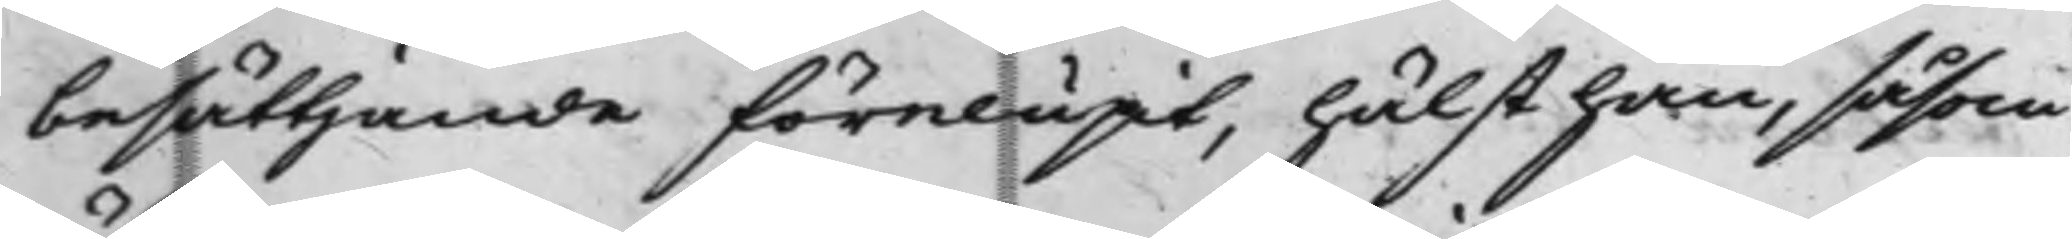besättjande förelupit, hälst han, såsom
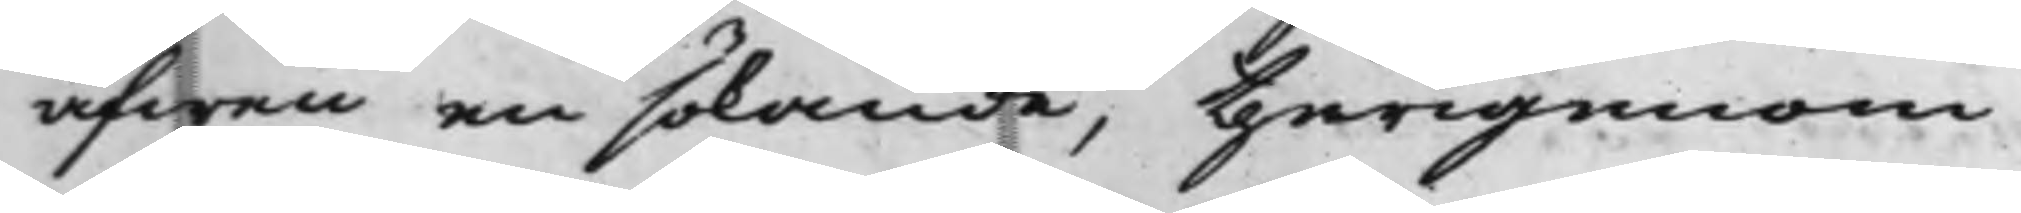äfwen en sökande, therigenom
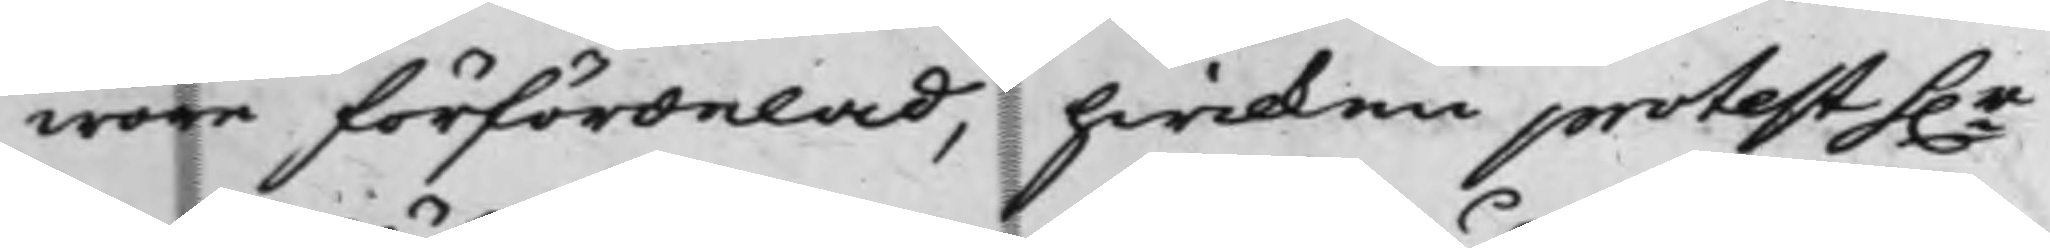wore förfördelad, hwilken protest h.r
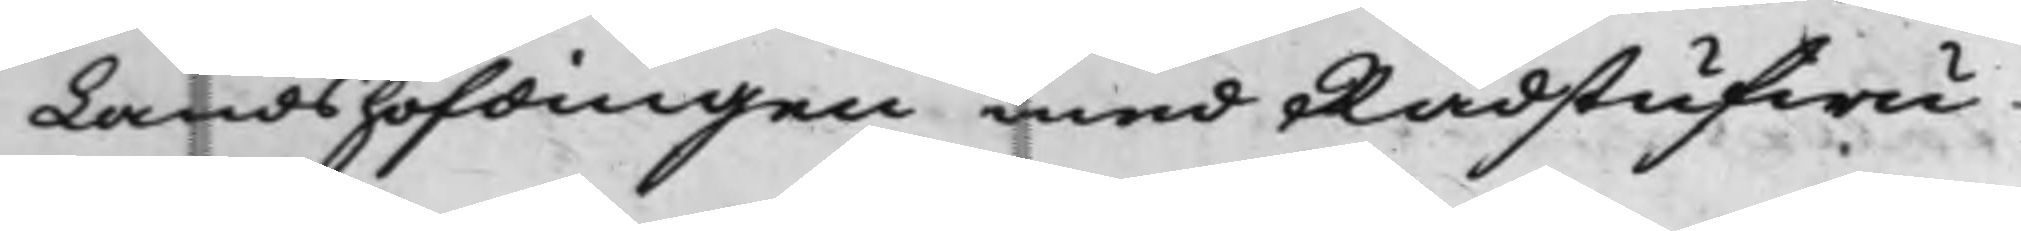Landshöfdingen med Rådstufwu¬
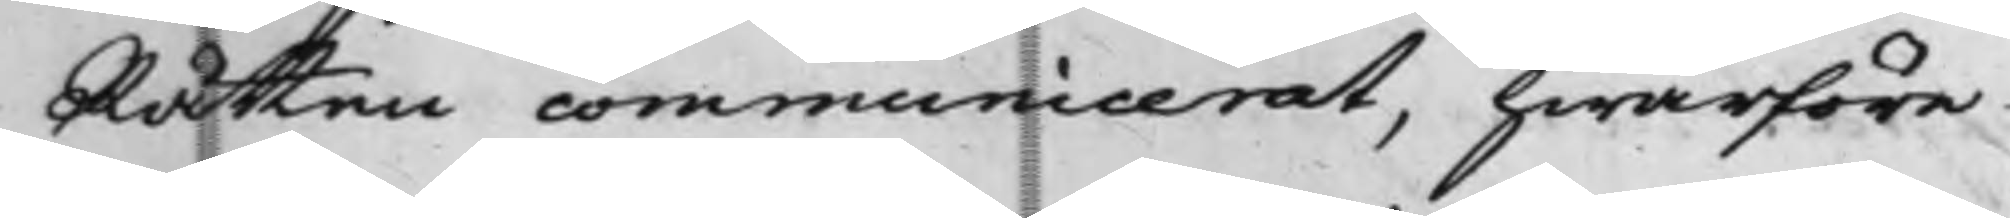Rätten communicerat, hwarföre
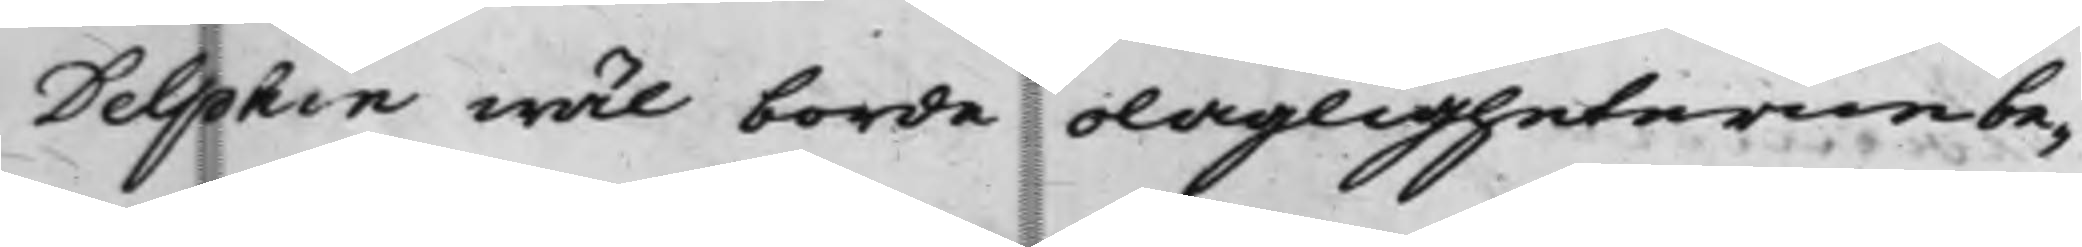Delphin wäl borde olagligheterne be¬
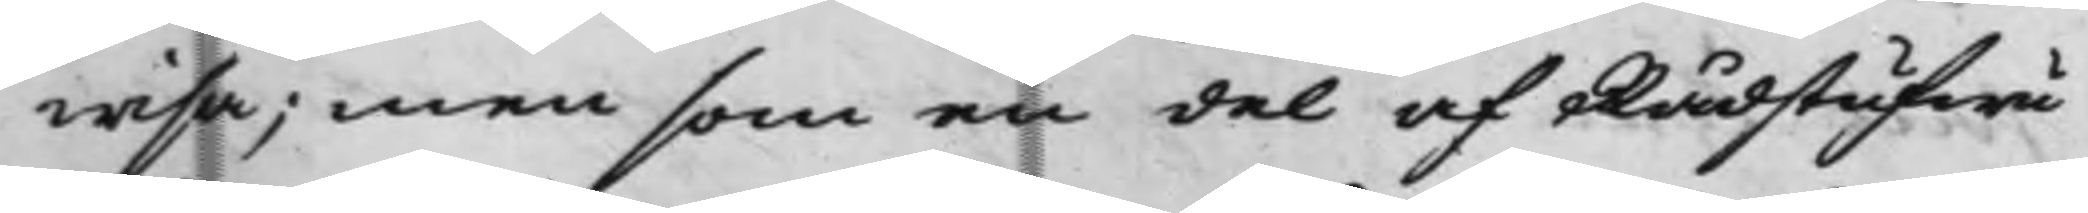wisa; men som en del af Rådstufwu¬
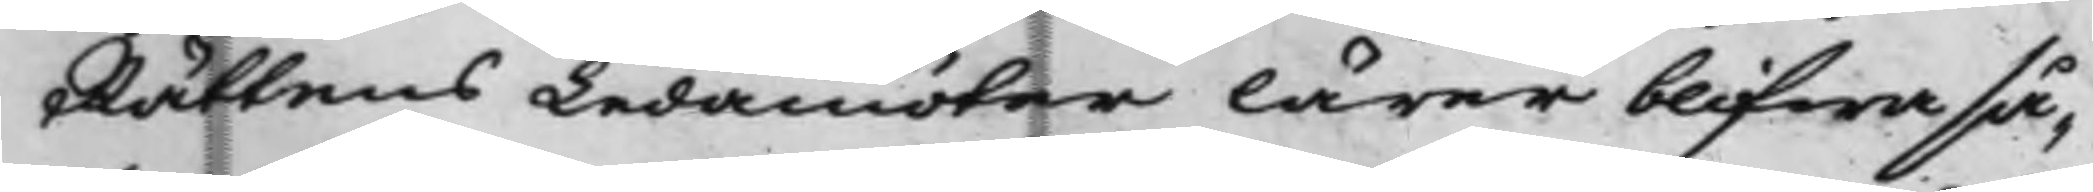Rättens Ledamöter lärer blifwa så¬
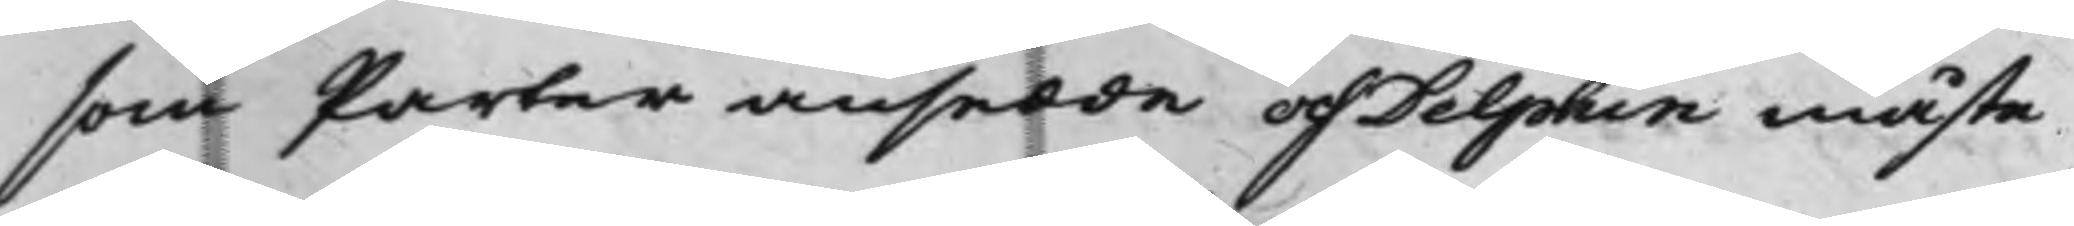som Parter ansedde och Delphin måste
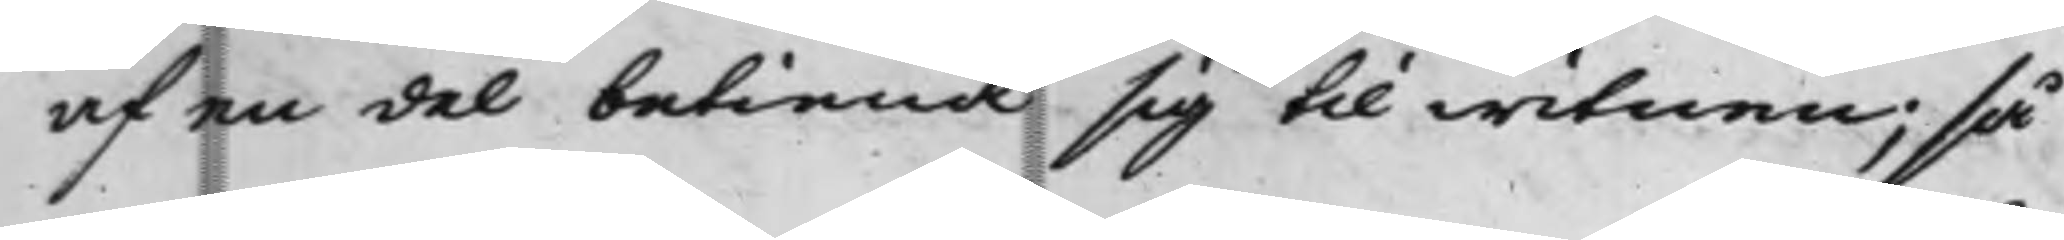af en del betiena sig til witnen; så
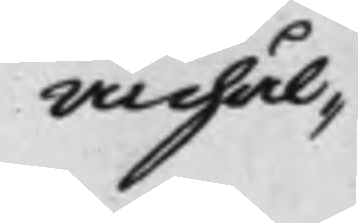anhål¬
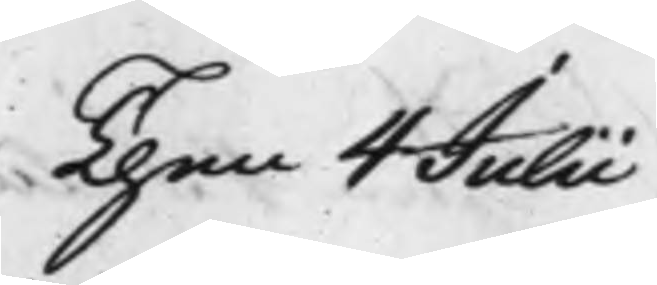Then 4 Julii
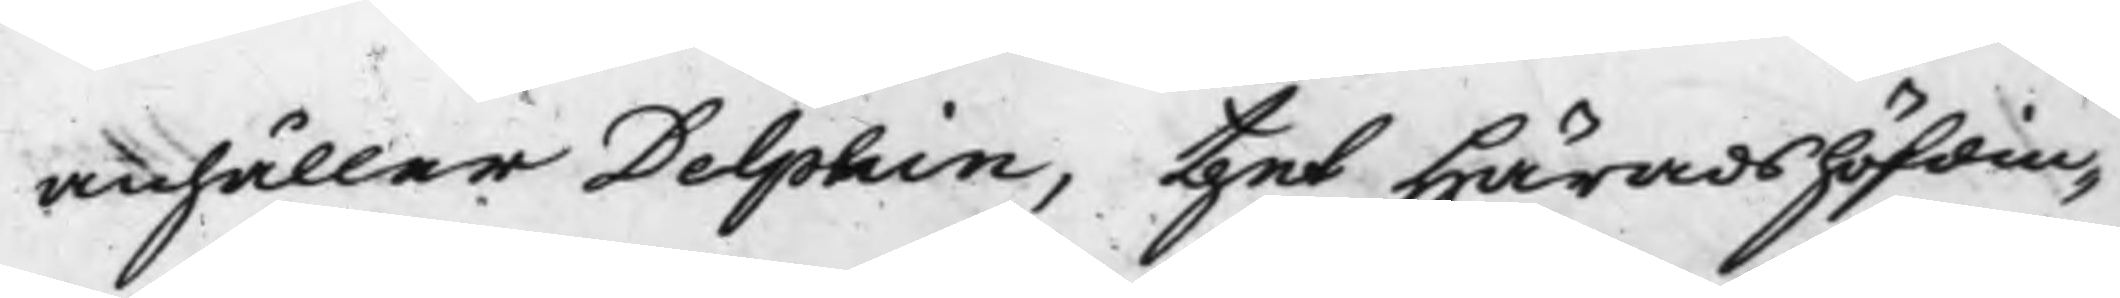anhåller Delphin, thet Häradshöfdin¬
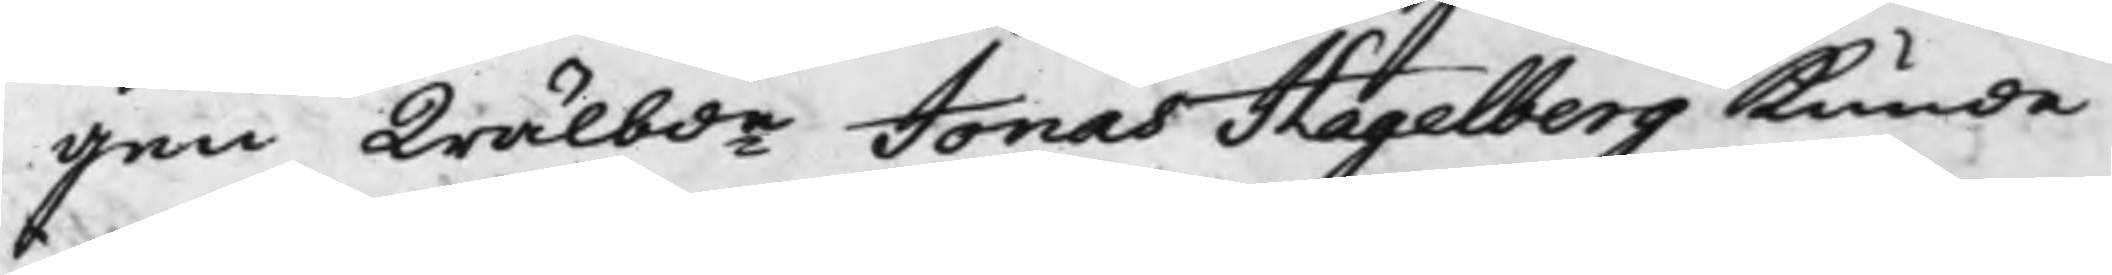gen Wälbde Jonas Hagelberg kunde
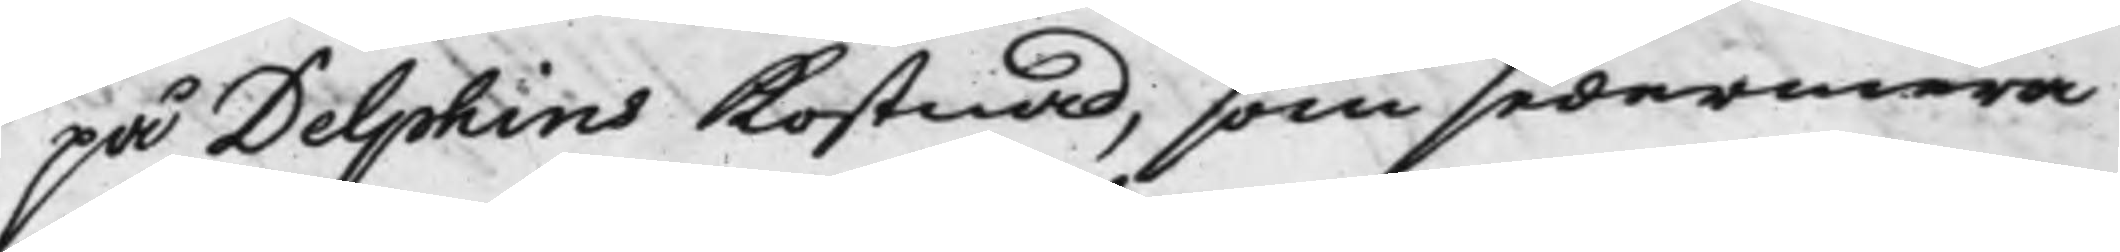på Delphins Kostnad, som sedermera
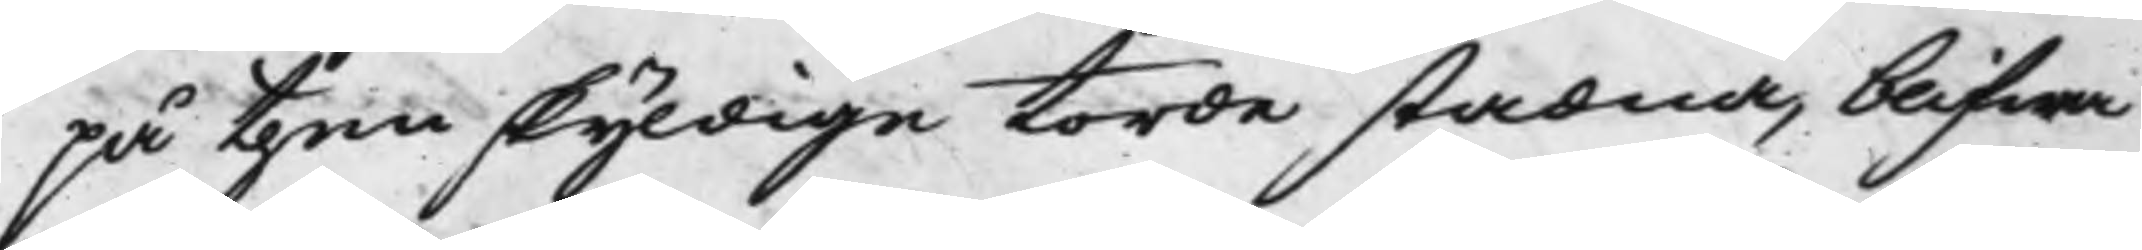på then skyldige torde stadna, blifwa
